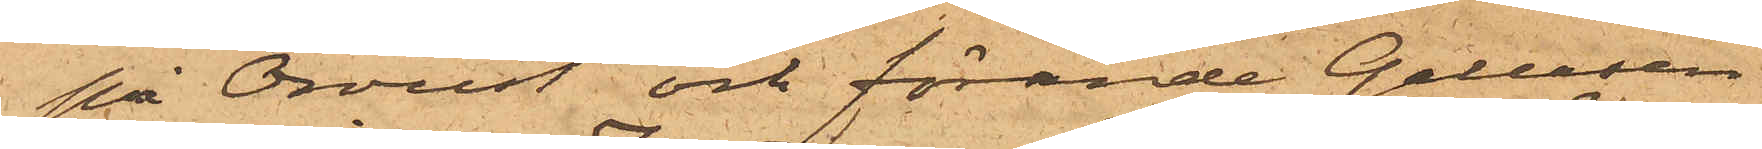på Orust och förande Galeasen
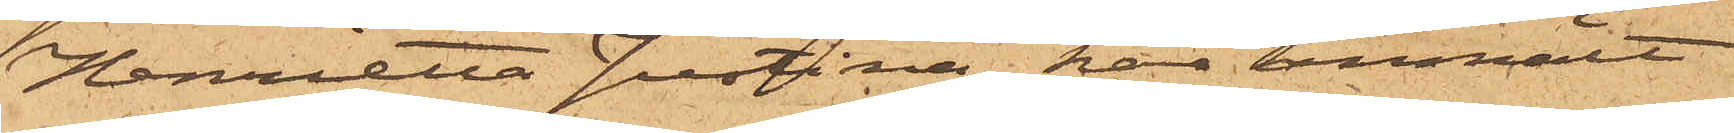Henrietta Justina, har anmält
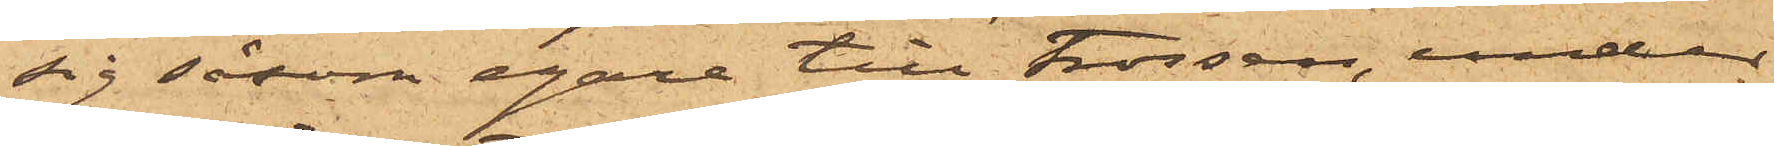sig såsom egare till trossen, under
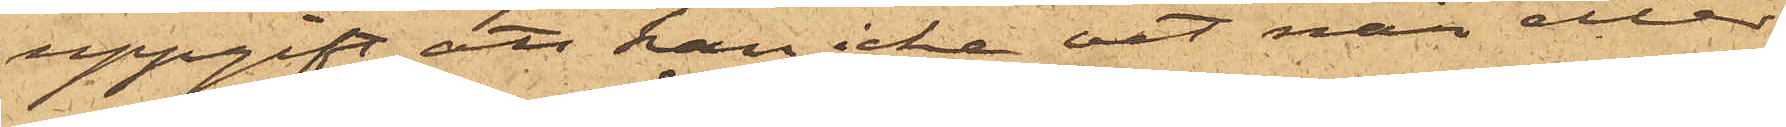uppgift att han icke vet när eller
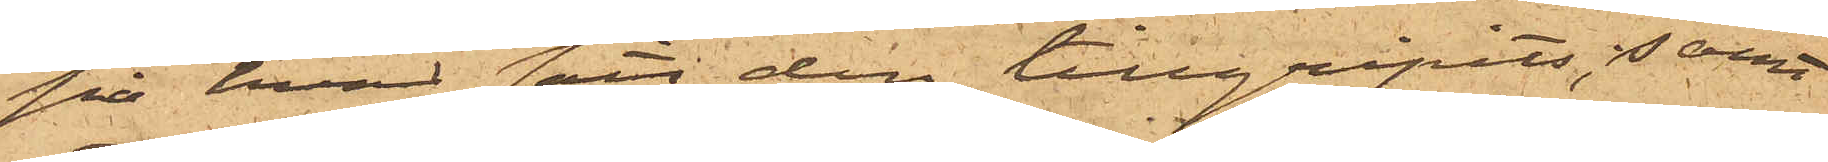på hvad sätt den tillgripits; samt
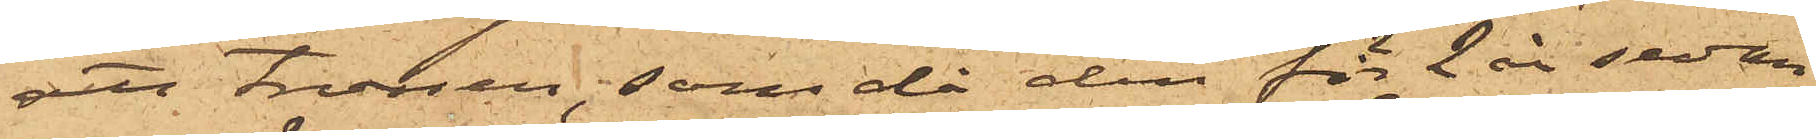att trossen, som då den för 2 år sedan
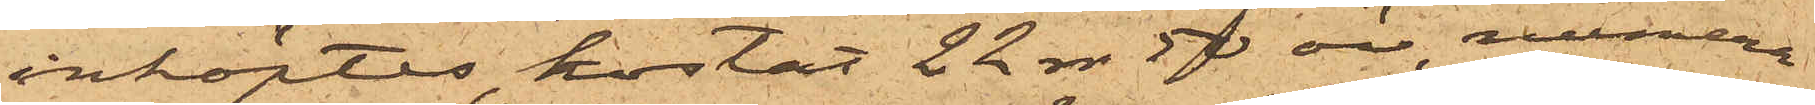inköptes, kostat 22 rdr 50 öre, numera
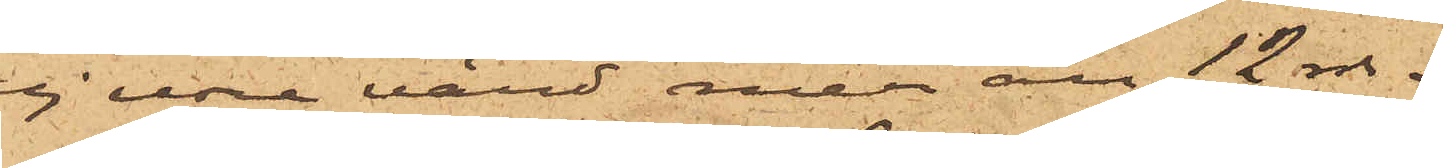ej vore värd mer än 12 rdr.
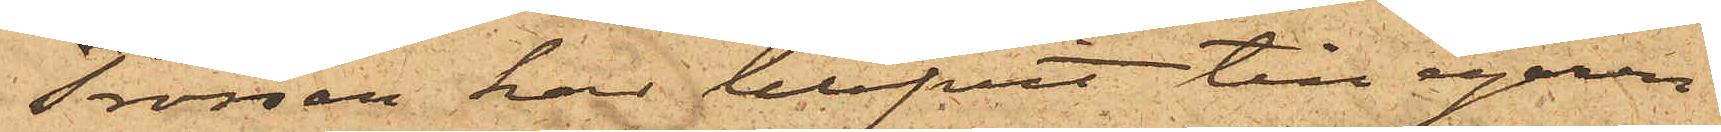Trossen har blifvit till egaren
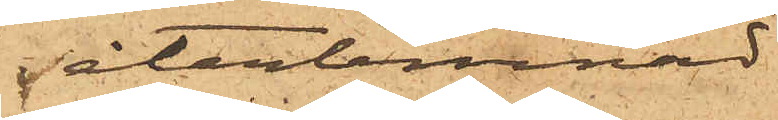återlemnad.
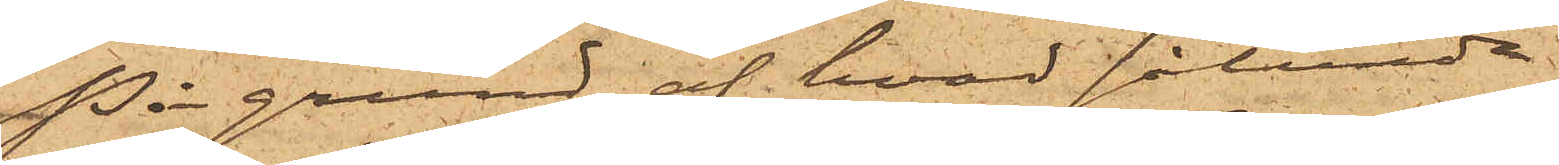På grund af hvad sålunda
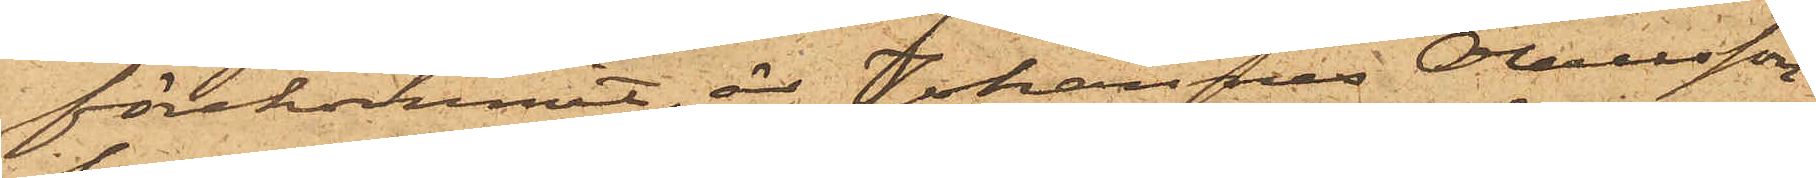förekommit, är Johannes Olausson
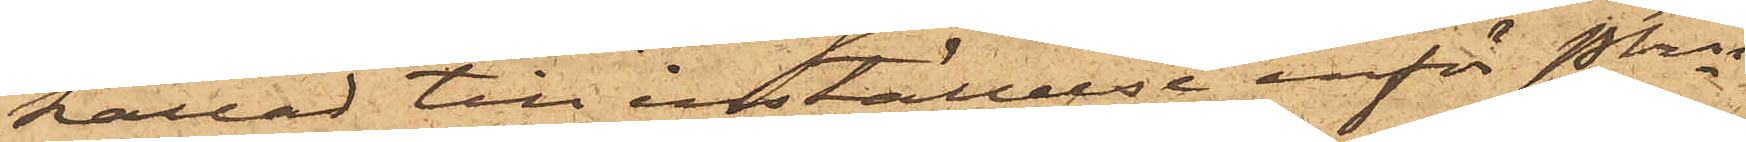kallad till inställelse inför Pkn
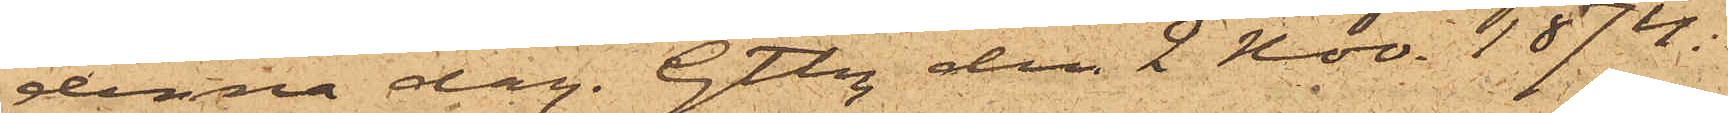denna dag. Gtbg den 2 Nov. 1874.
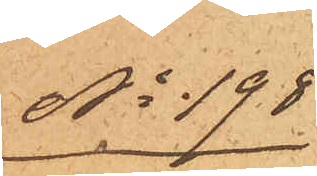No 198
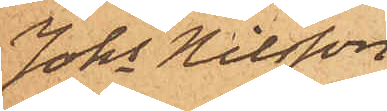Johs Nilsson
